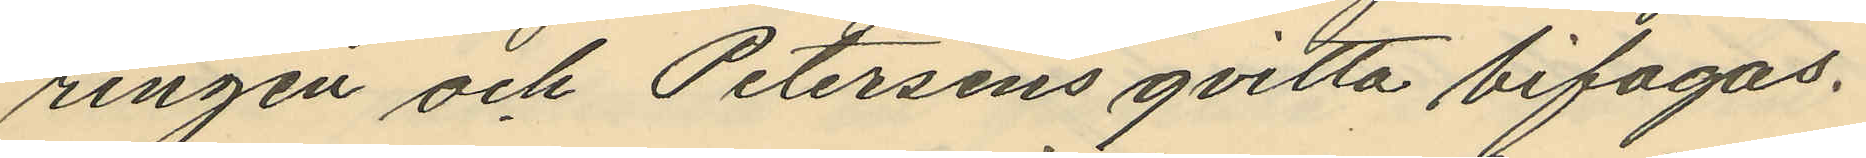ringen och Petersens qvitto bifogas.
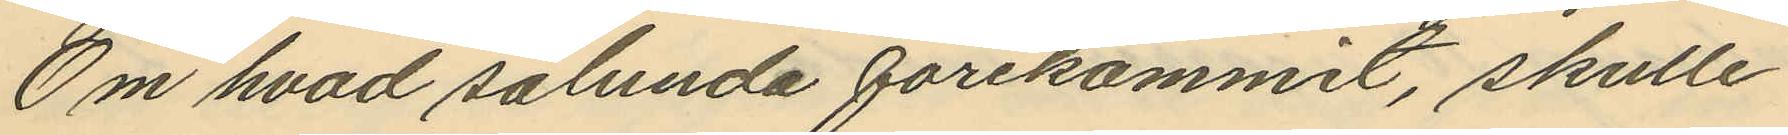Om hvad sålunda förekommit, skulle
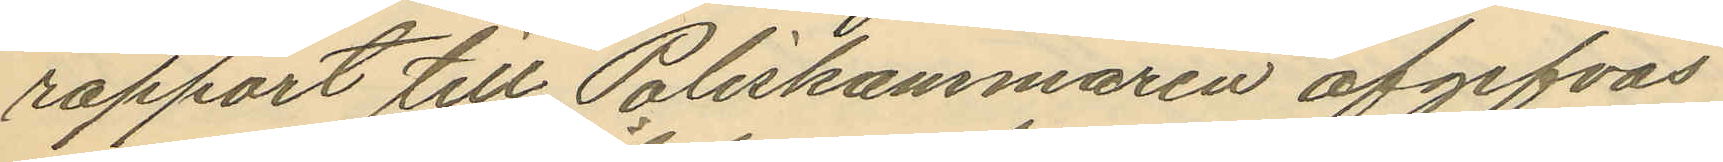rapport till Poliskammaren afgifvas
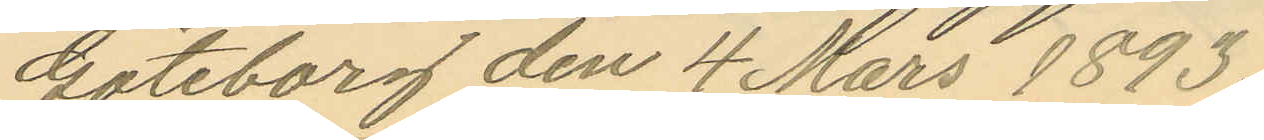Göteborg den 4 Mars 1893.
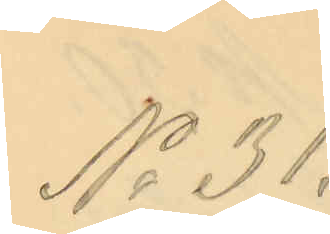No 31.
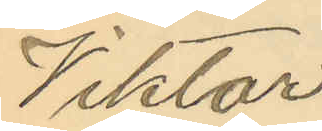Viktor
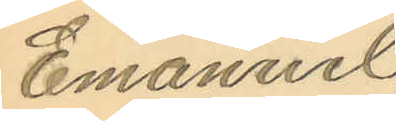Emanuel
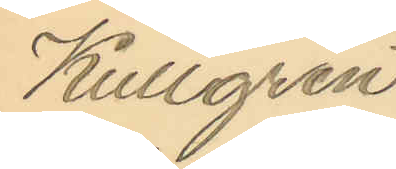Kullgren
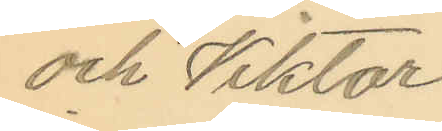och Viktor
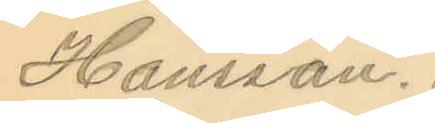Hansson.
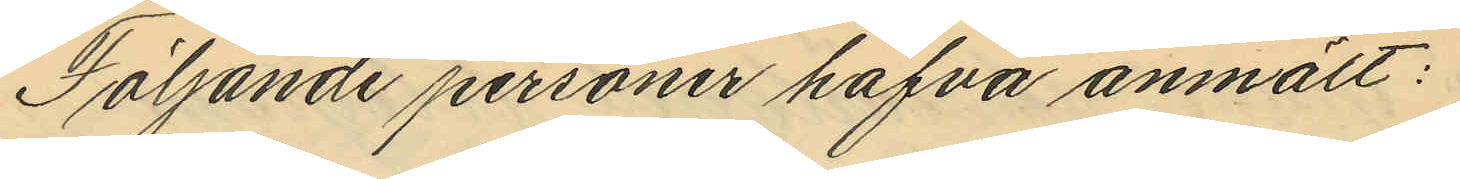Följande personer hafva anmält:
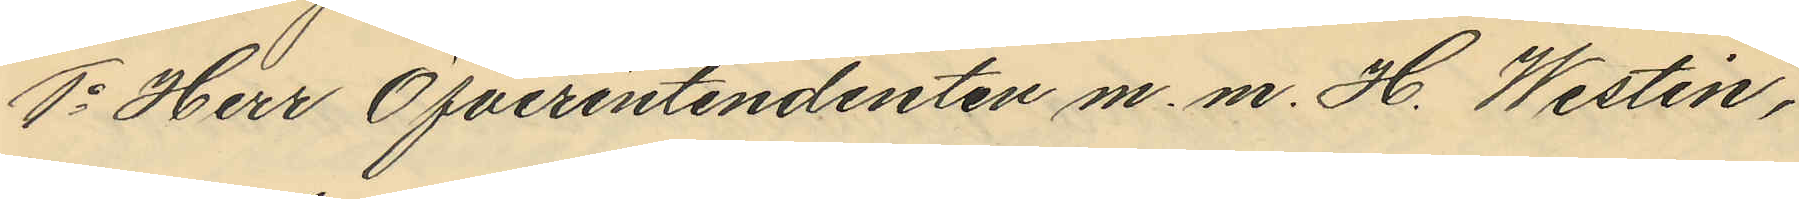1o Herr Öfverintendenten m. m. H. Westin,
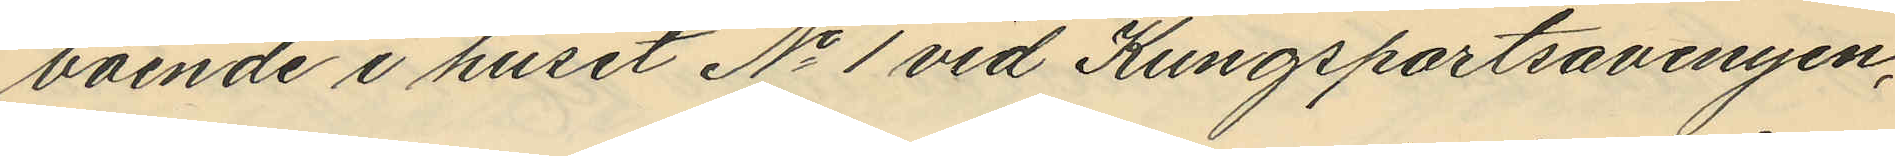boende i huset No 1 vid Kungsportsavenyen,
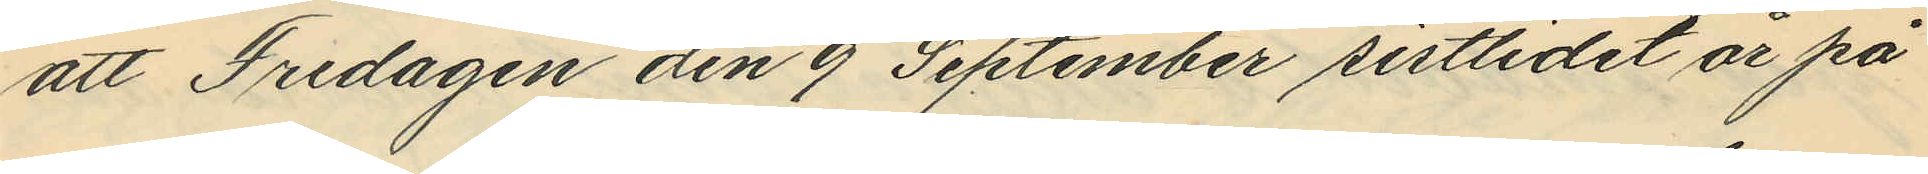att Fredagen den 9 September sistlidet år på
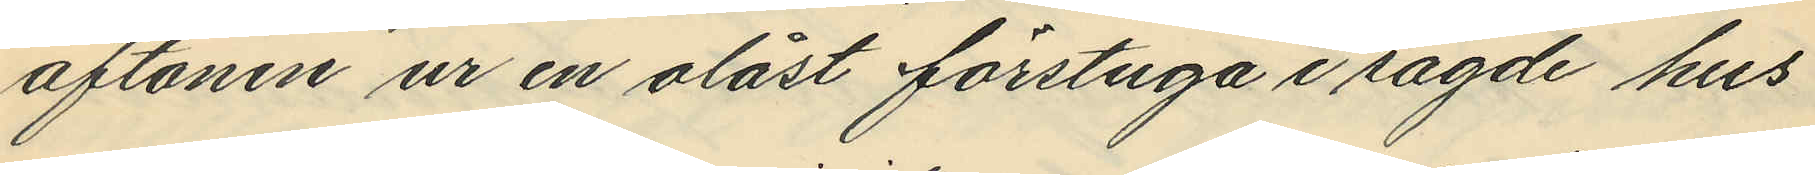aftonen ur en olåst förstuga i sagde hus
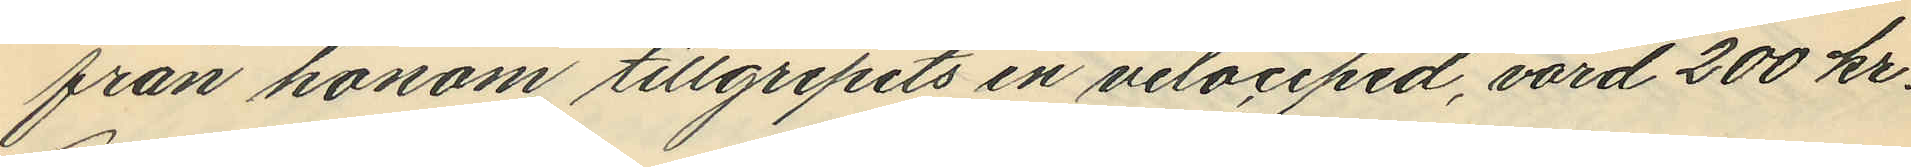från honom tillgripits en velociped, värd 200 kr.
